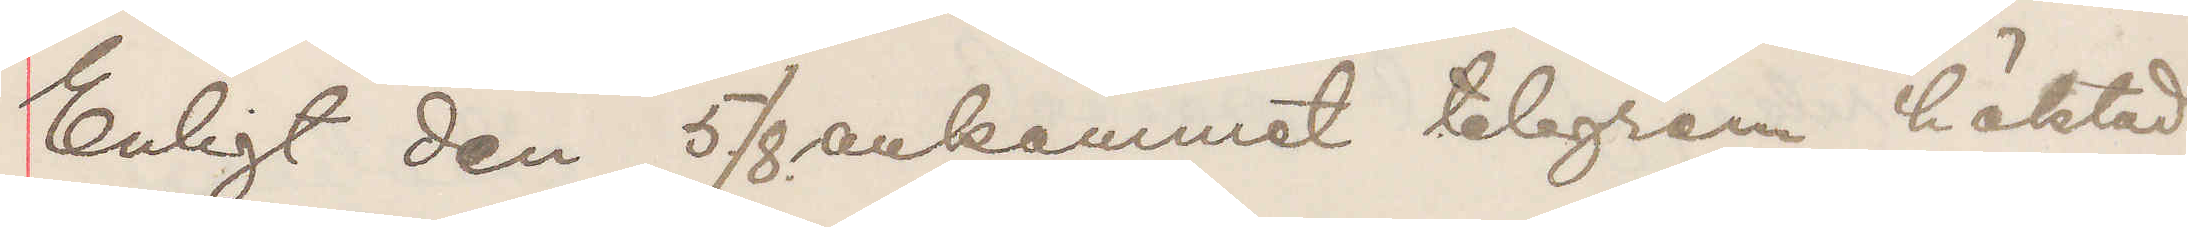Enligt den 5/8 ankommet telegram häktad
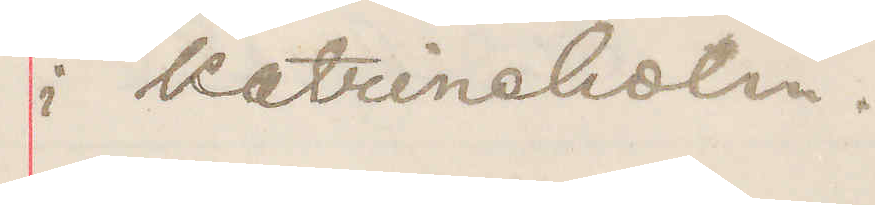i Katrineholm.
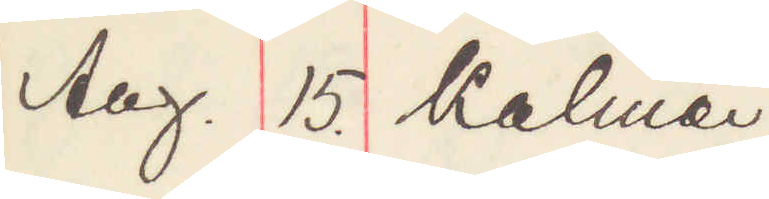Aug. 15. Kalmar
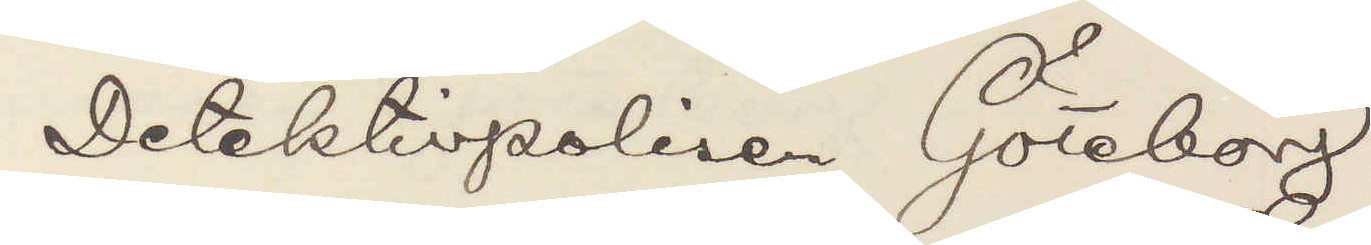Detektivpolisen Göteborg.
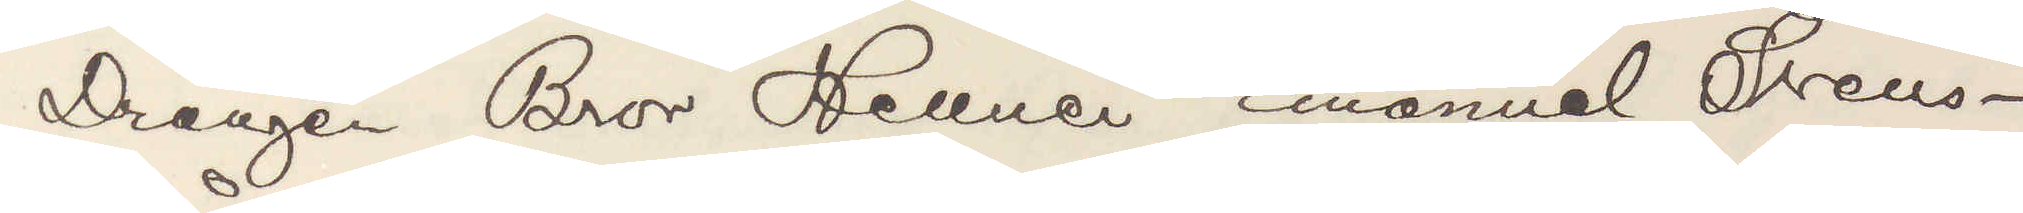Drängen Bror Hellner Emanuel Svens¬
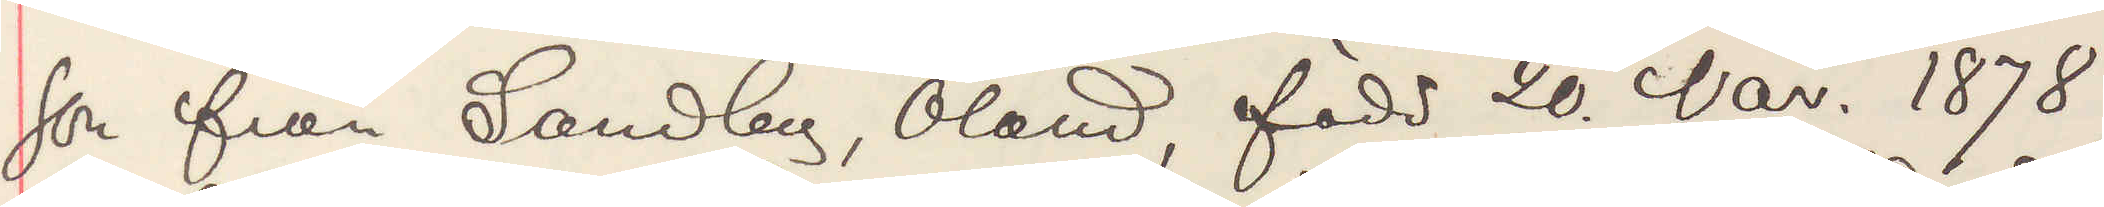son från Sandby, Öland, född 20 Nov. 1878.
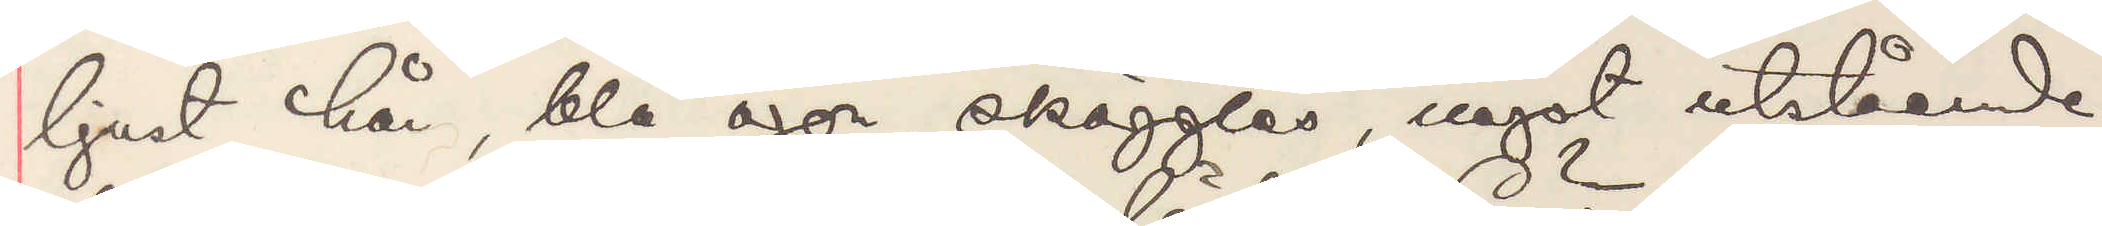ljust hår, blå ögon, skägglös, något utstående
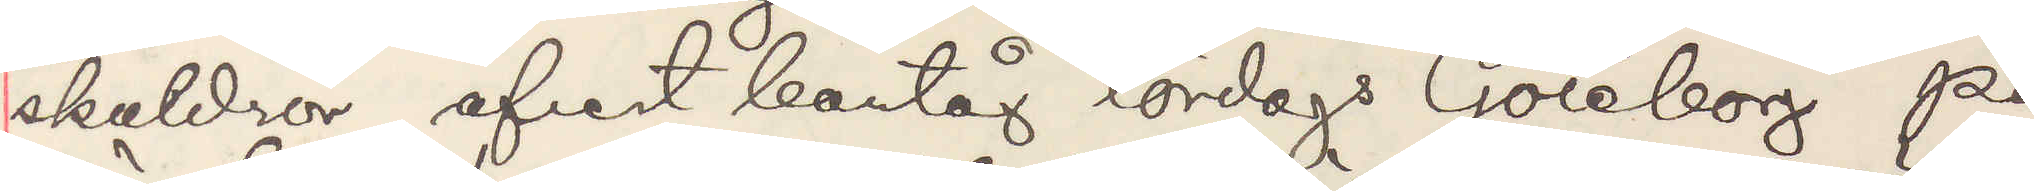skuldror afrest bantåg lördags Göteborg på
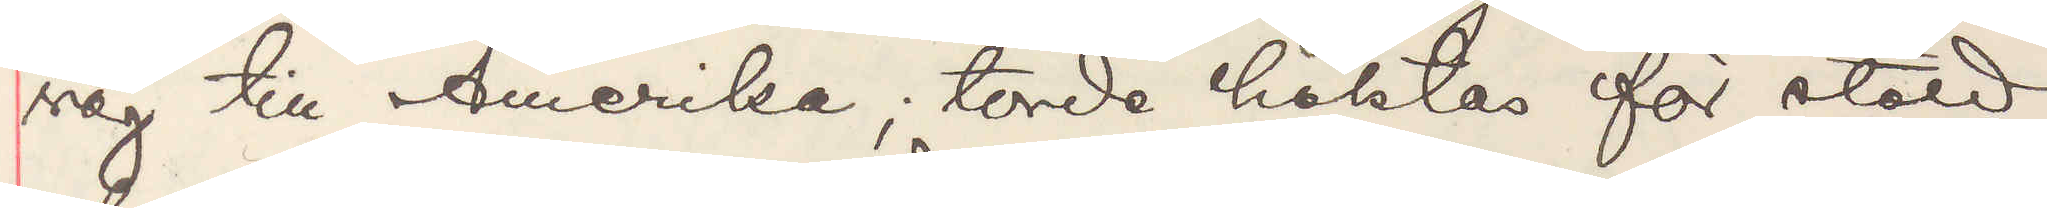väg till Amerika; torde häktas för stöld
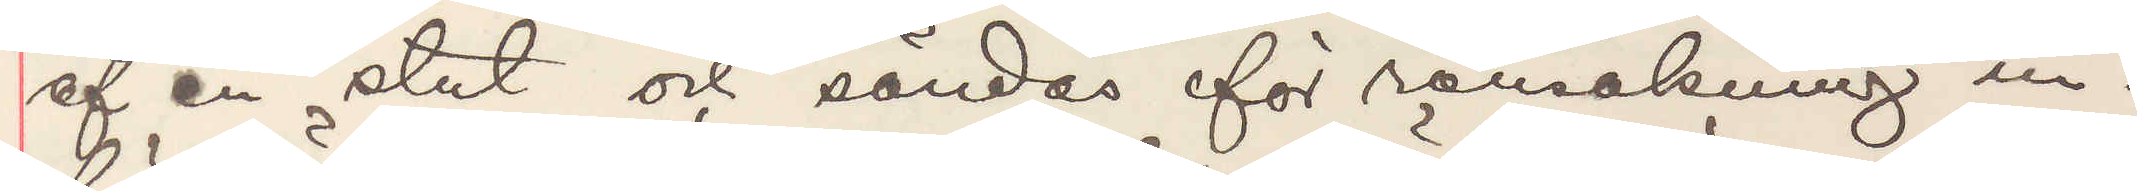af en stut och sändes för ransakning in¬
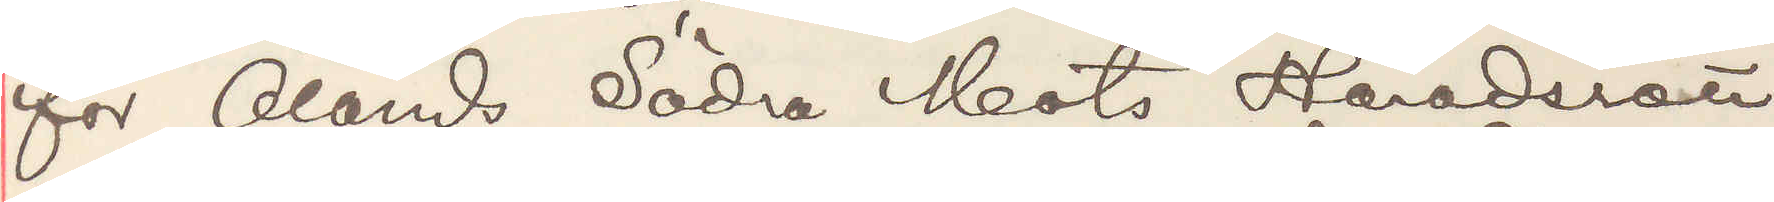för Ölands Södra Mots Häradsrätt.
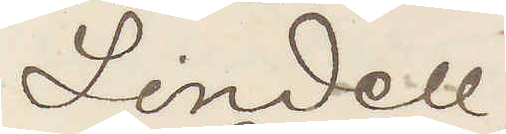Lindell
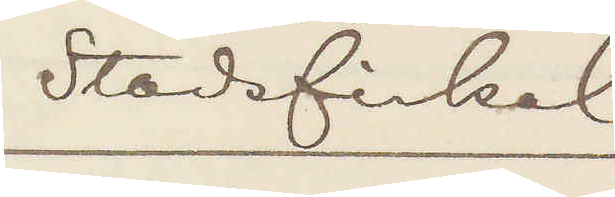Stadsfiskal
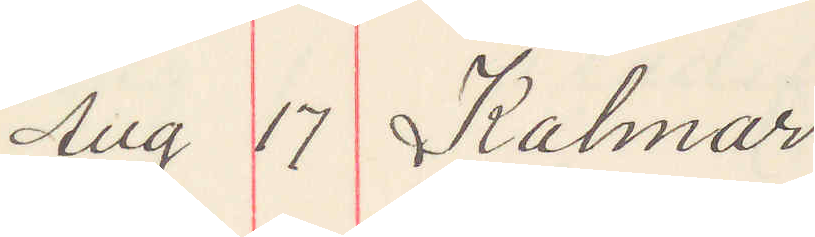Aug 17 Kalmar
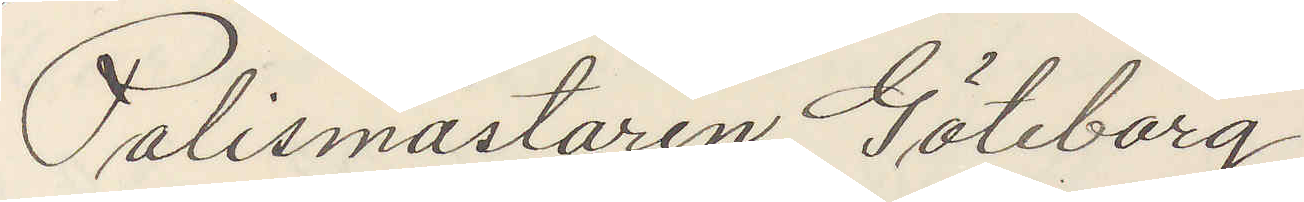Polismästaren Göteborg.
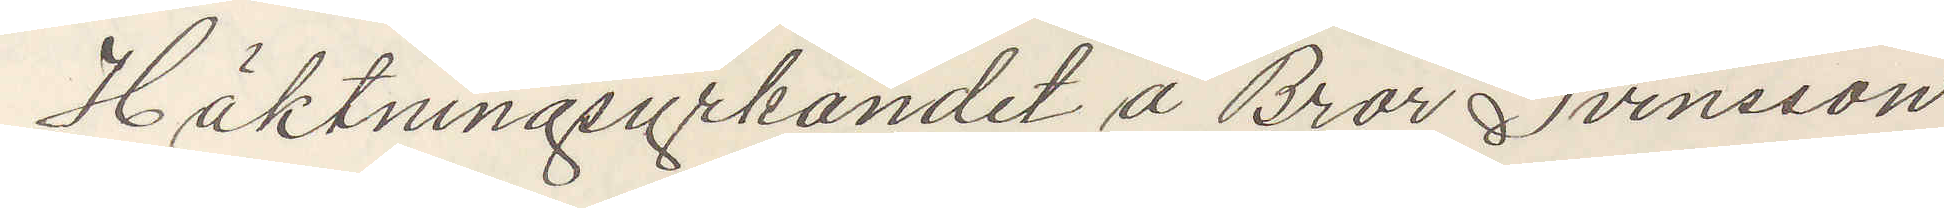Häktningsyrkandet å Bror Svensson
